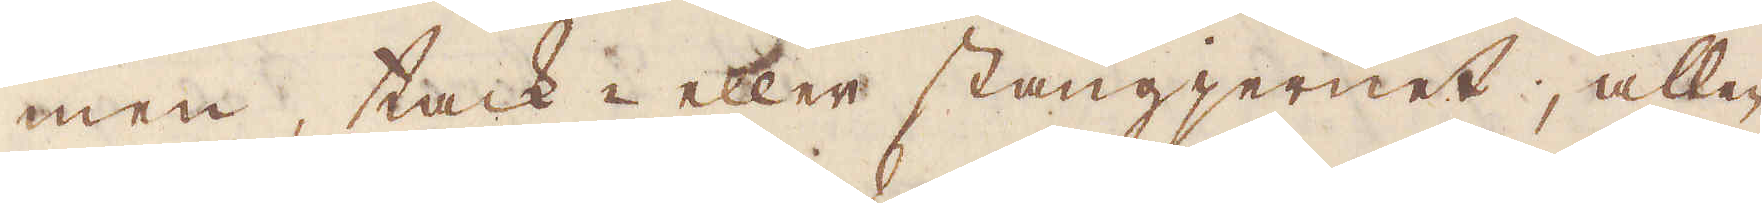men, tack- eller stångjernet, alle-
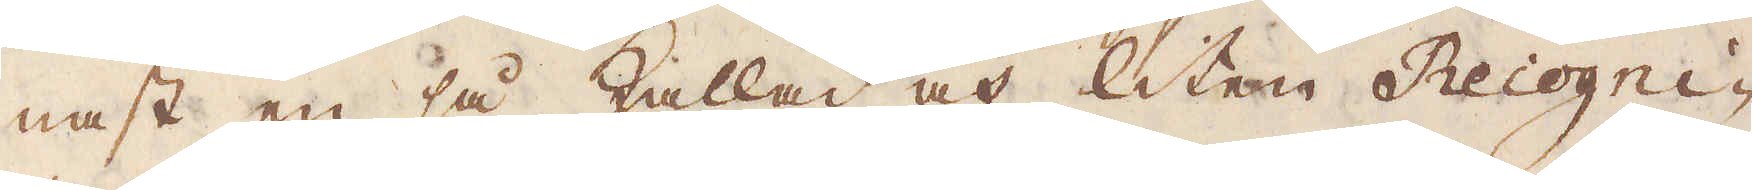nast en så kallad och liten Recogni-
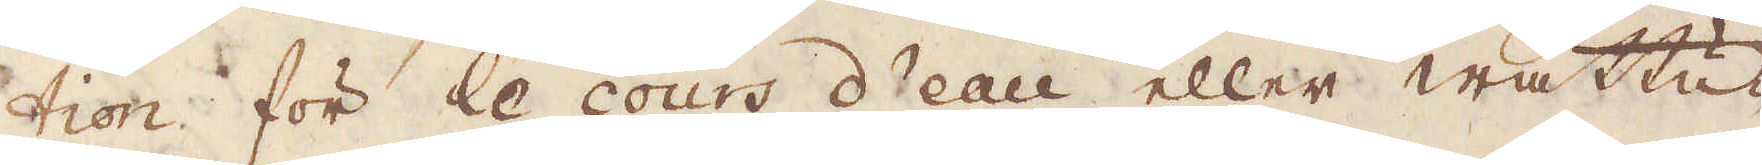tion för le cours d'eau eller watten-
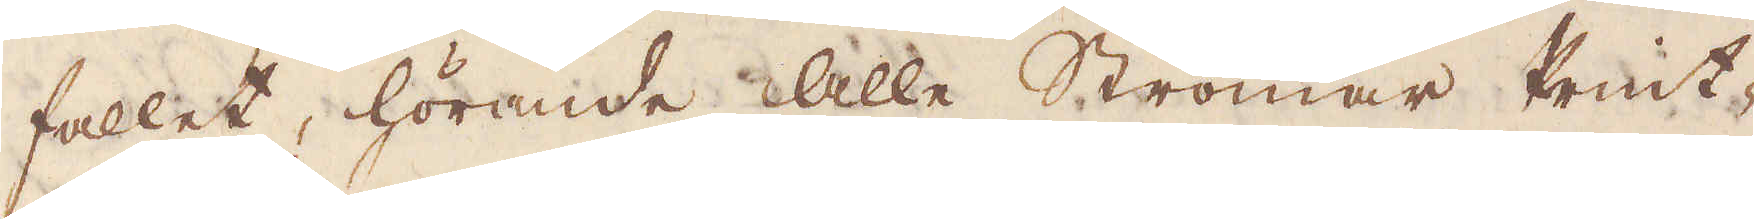fallet hörande alla Strömar Print-
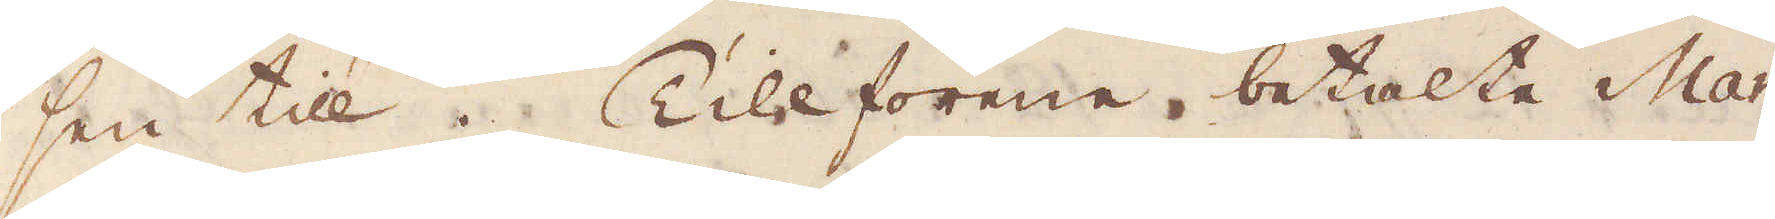sen till. Tillförene betala Mar-
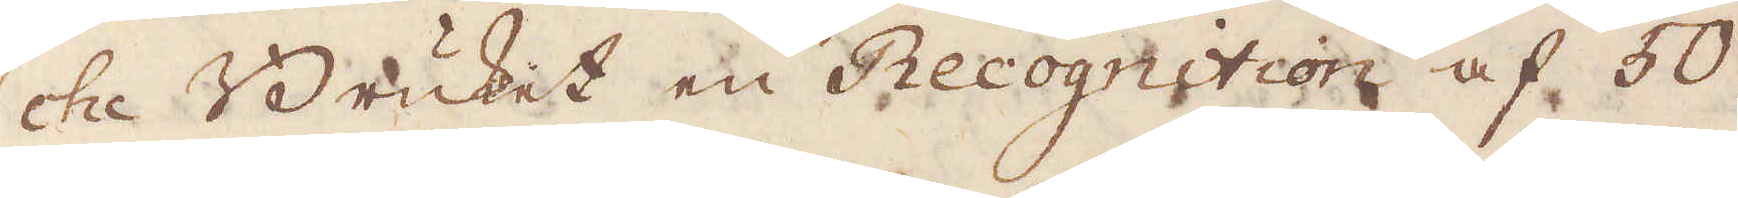che Bruket en Rocognition af 50
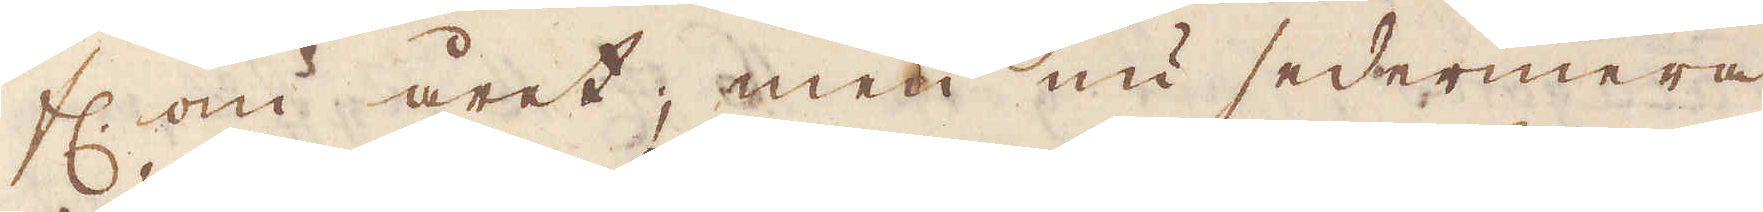fl. om året; men nu sedermera
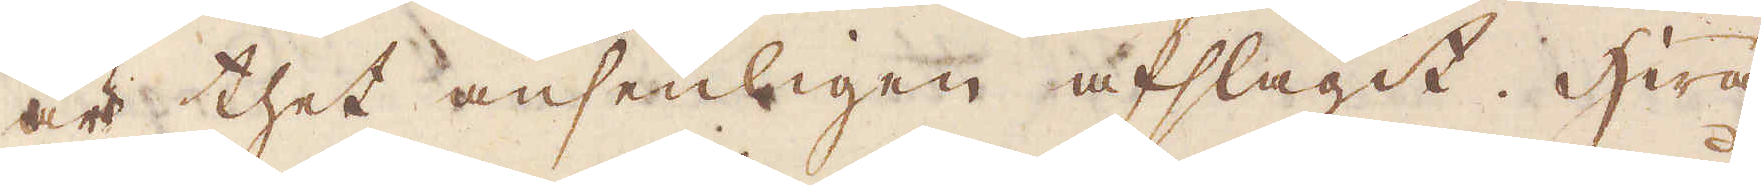är thet ansenligen afslagit. Hwad
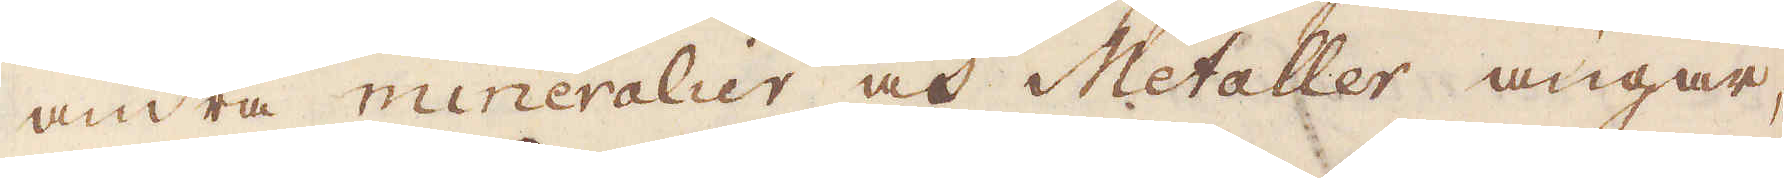andra mineralier och Metaller angår,
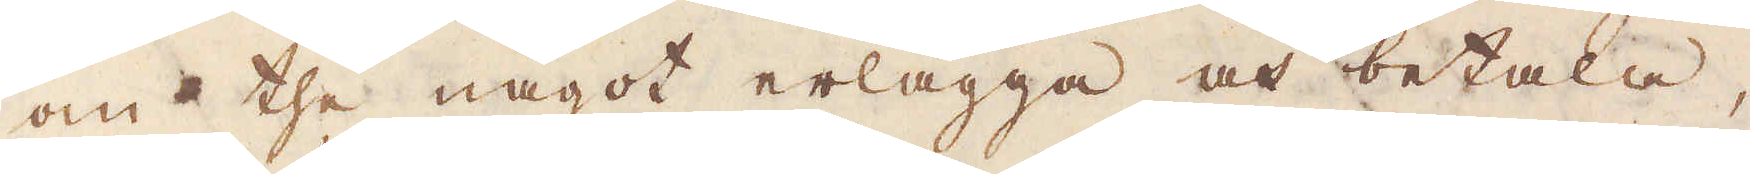om the något erlägga och betala,
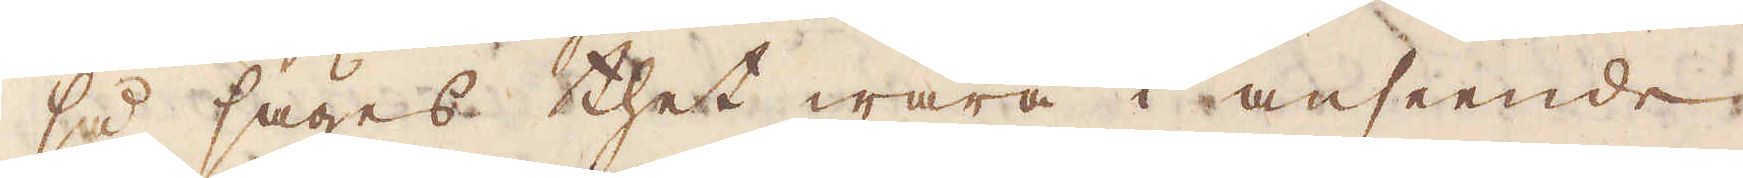så säges thet wara i anseende
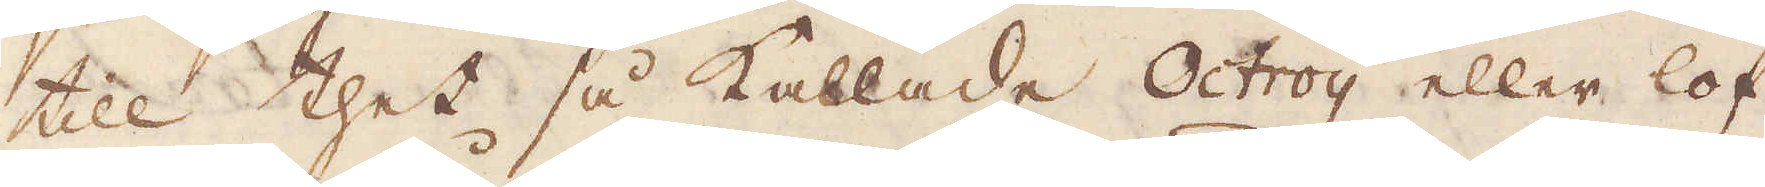till thet så kallade Octroij eller lof
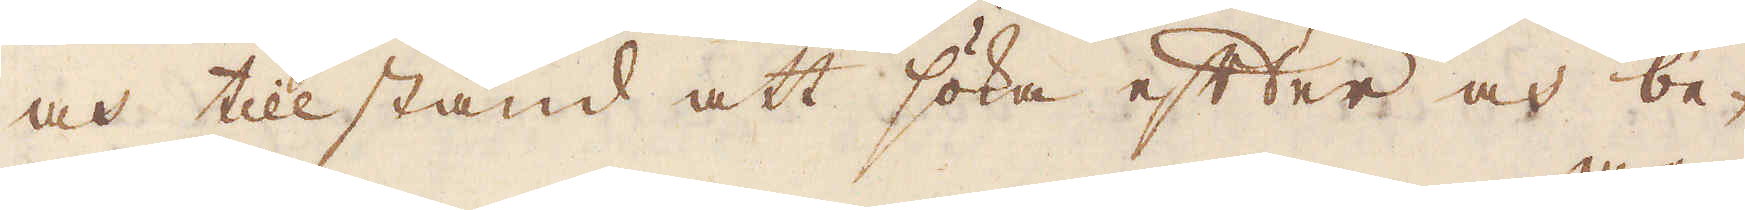oc htillstånd att söka efter och be-
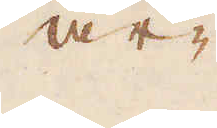ar-
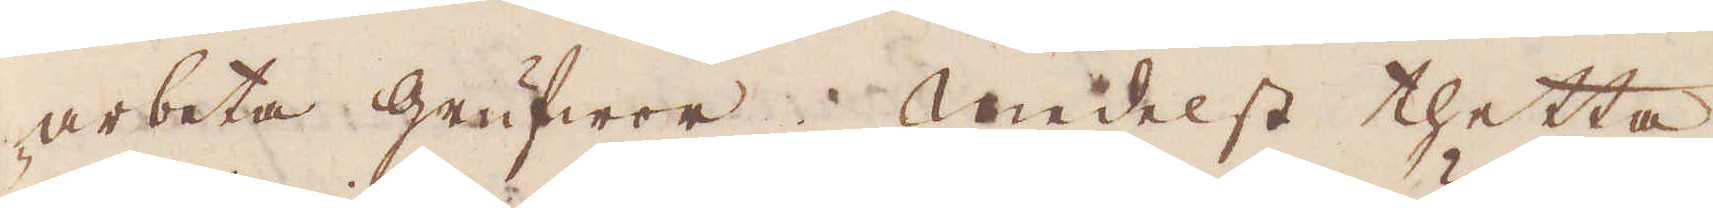arbeta grufwor. Medelst thetta
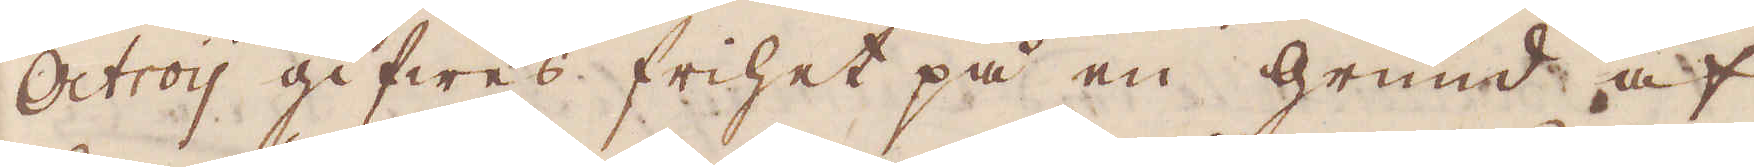Octroij gifwes frihet på en grund af
